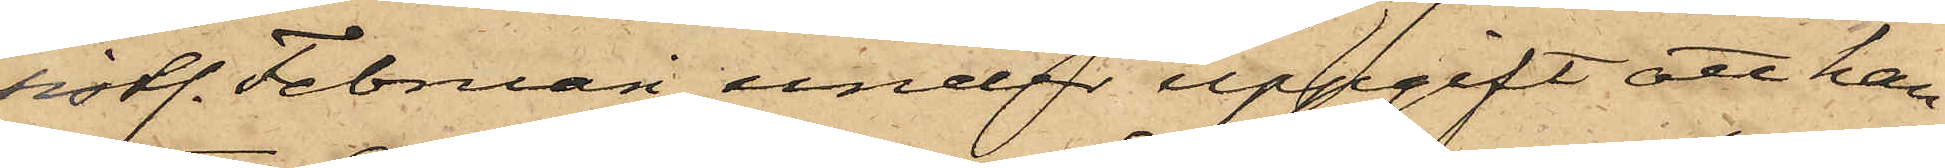sistl. Februari under uppgift att han
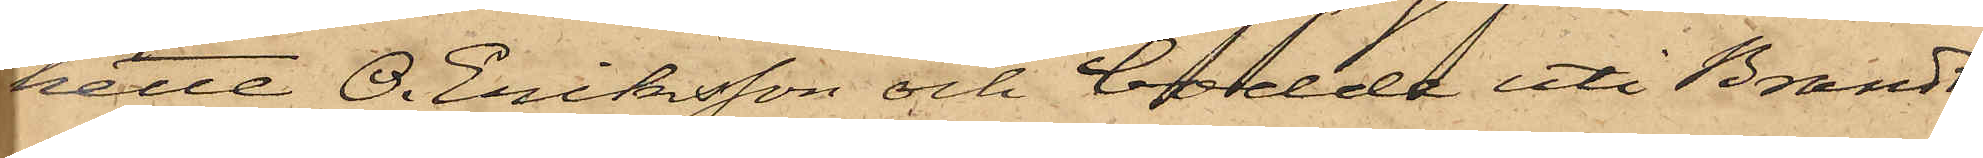hette O. Eriksson och bodde uti Brandt¬
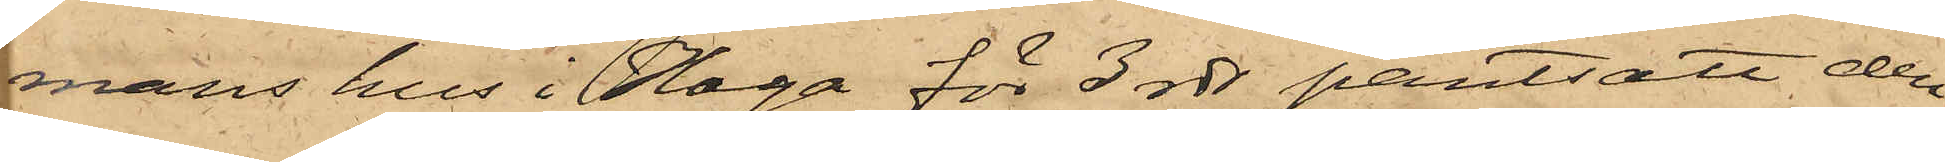mans hus i Haga för 3 rdr pantsatt den
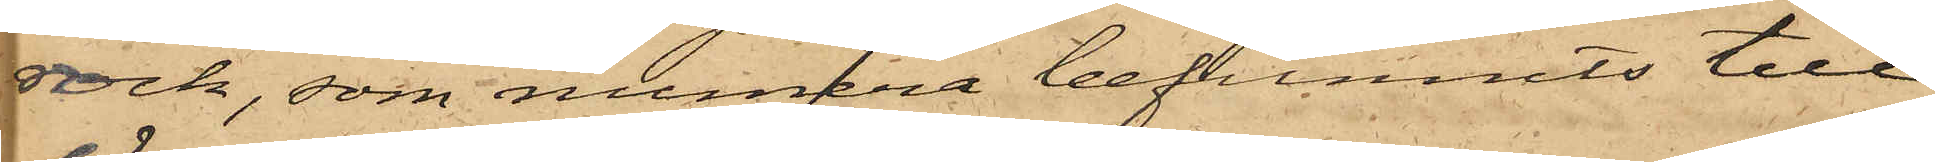rock, som numera befunnits till
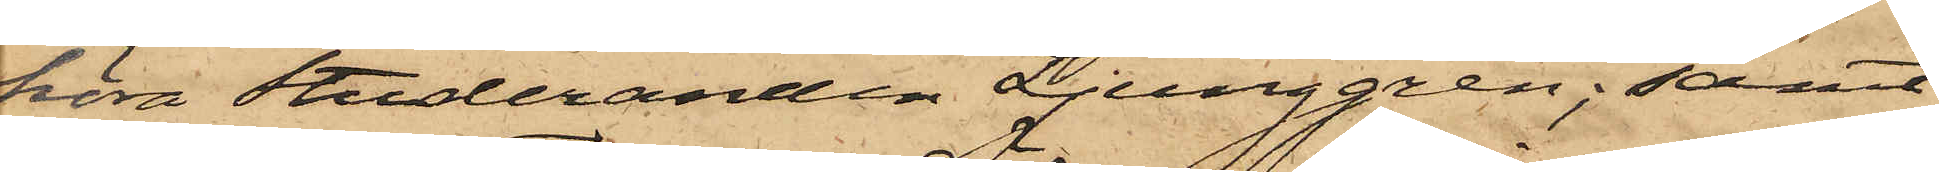höra Studeranden Ljunggren; samt
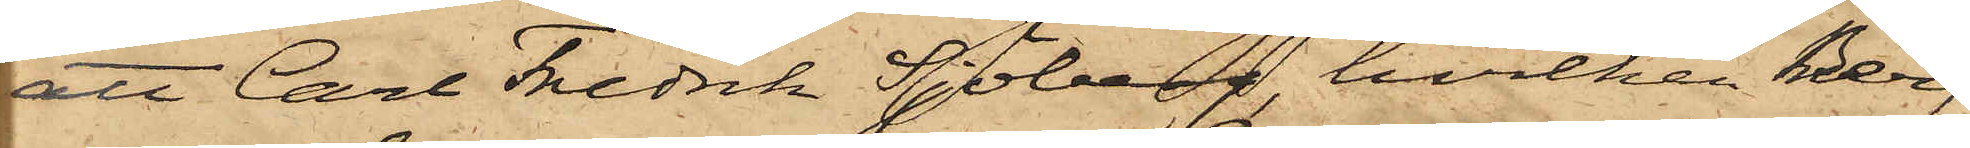att Carl Fredrik Sjöberg, hvilken Berg
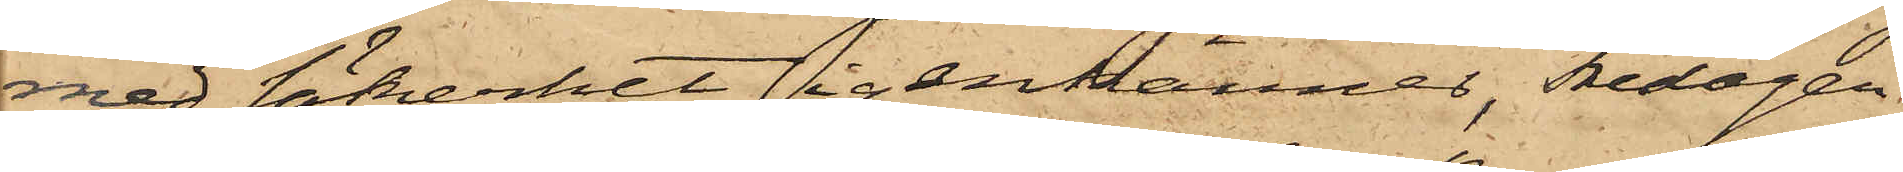med säkerhet igenkänner, Fredagen
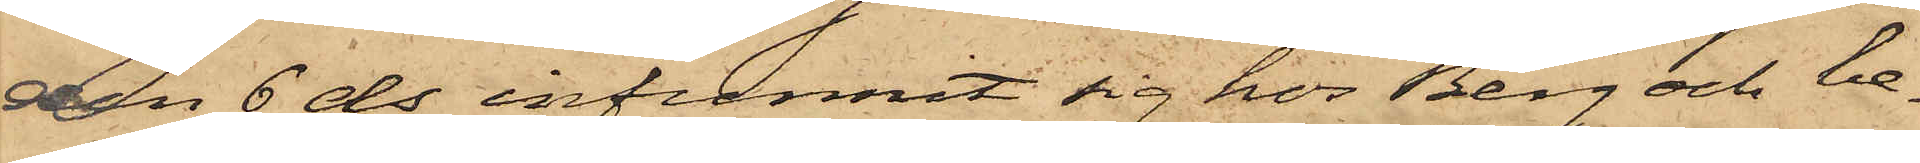den 6 ds infunnit sig hos Berg och be¬
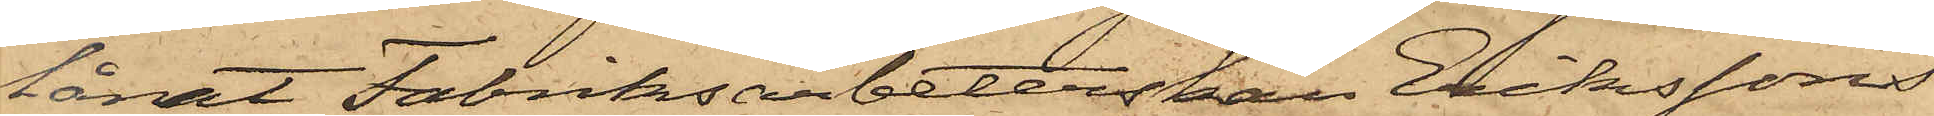lånat Fabriksarbeterskan Erikssons
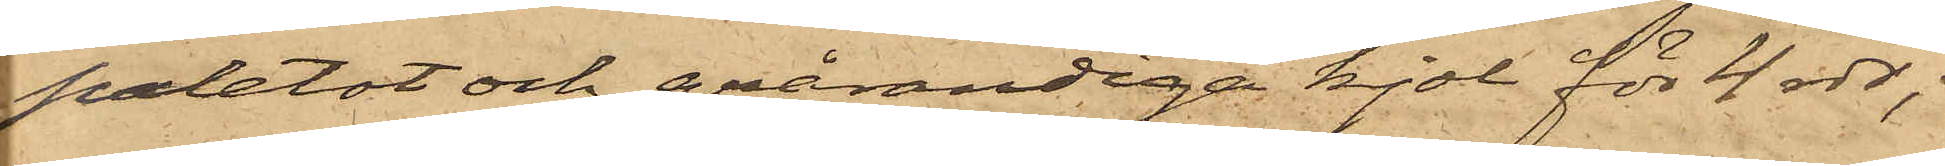paletot och grårandiga kjol för 4 rdr;
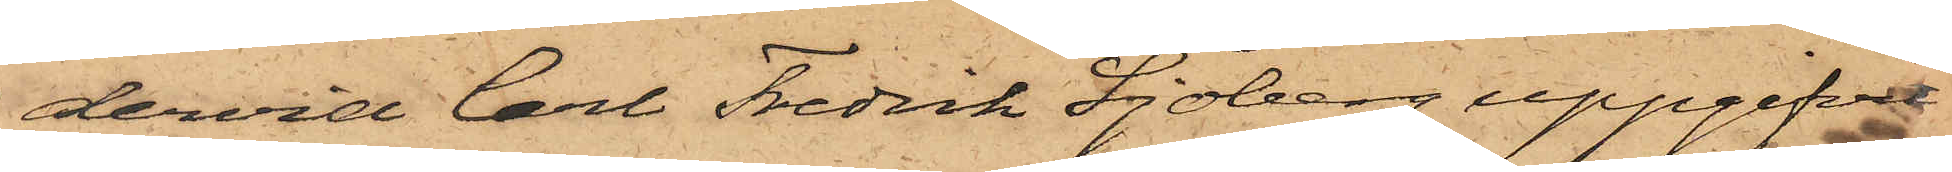dervid Carl Fredrik Sjöberg uppgifvit
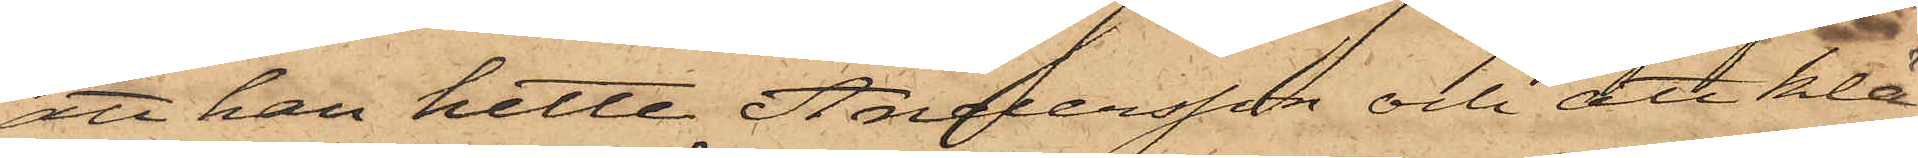att han hette Andersson och att klä¬
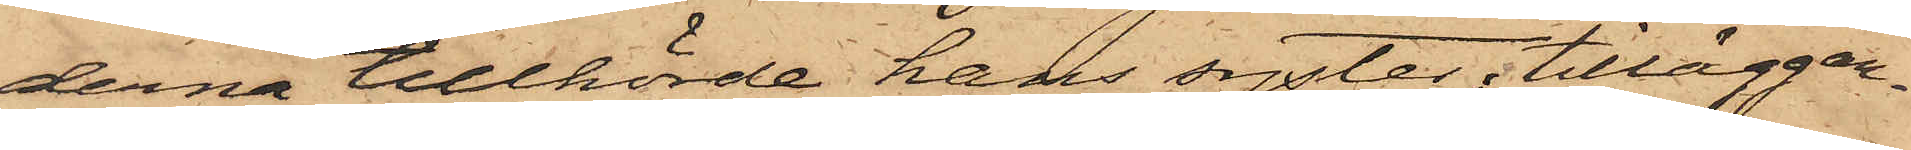derna tillhörde hans syster; tilläggan¬
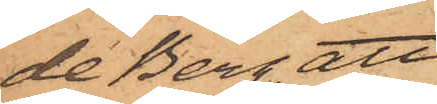de Berg, att
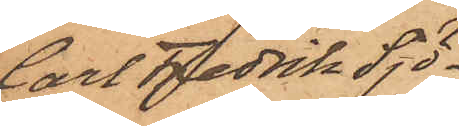Carl Fredrik Sjö¬
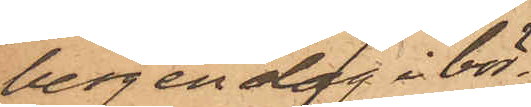berg en dag i bör¬
